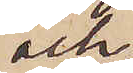och
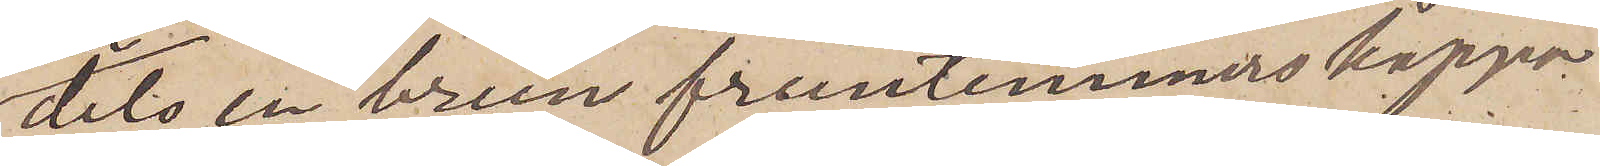dels en brun fruntimmerskappa
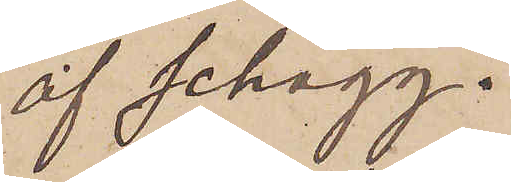af schagg.
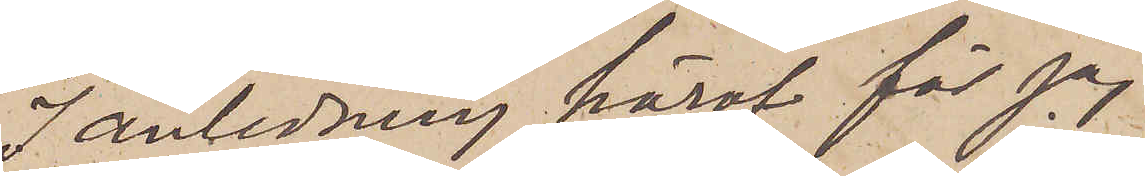I anledning häraf får jag
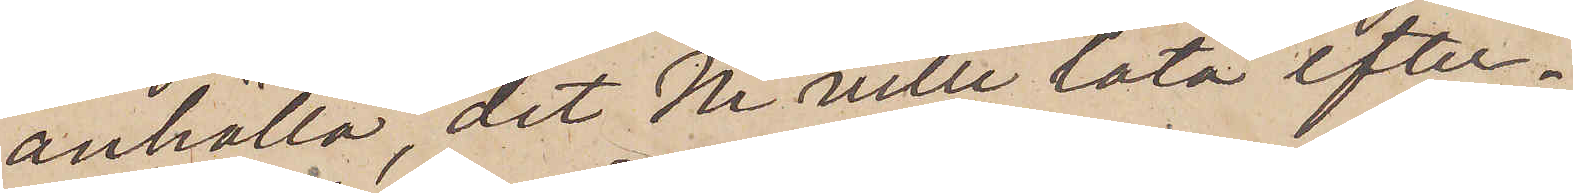anhålla, det Ni ville låta efter¬
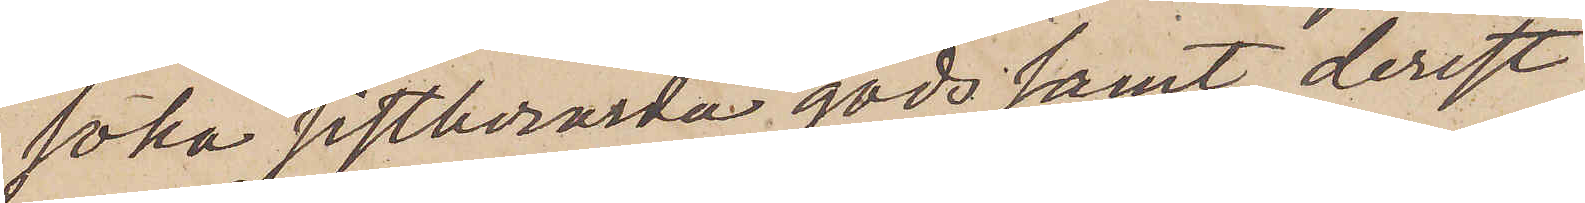söka sistberörda gods samt, derest
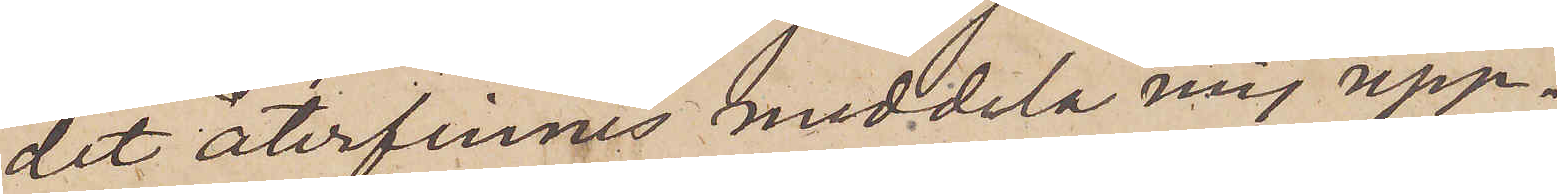det återfinnes, meddela mig upp¬
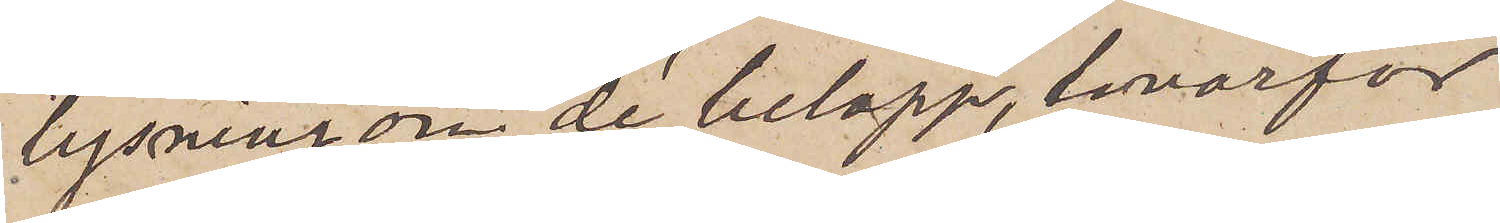lysning om de belopp, hvarför
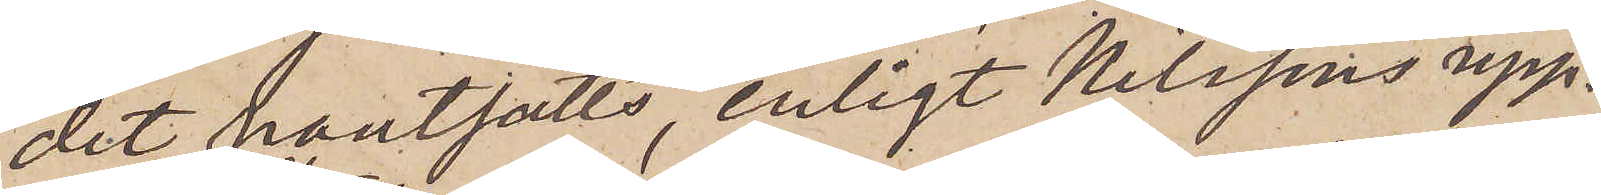det pantsatts, enligt Nilssons upp¬
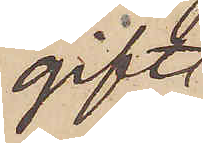gift
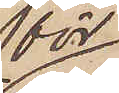för
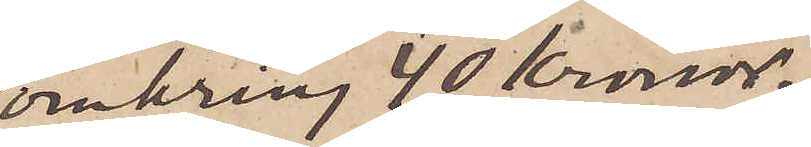omkring 40 Kronor,
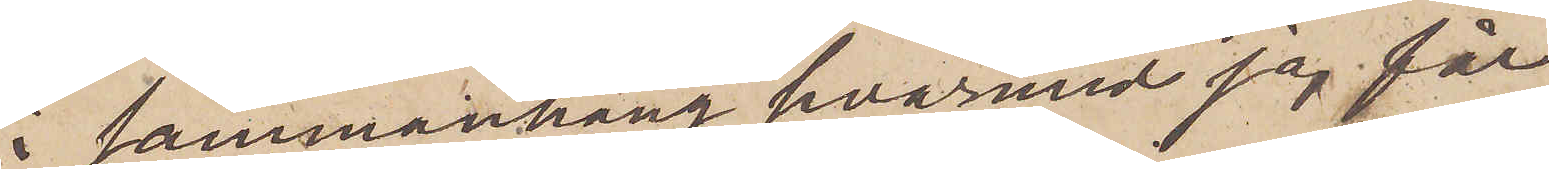i sammanhang hvarmed jag får
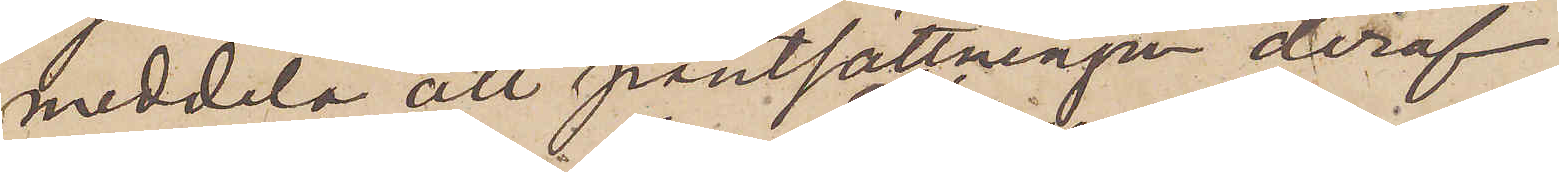meddela att pantsättningen deraf
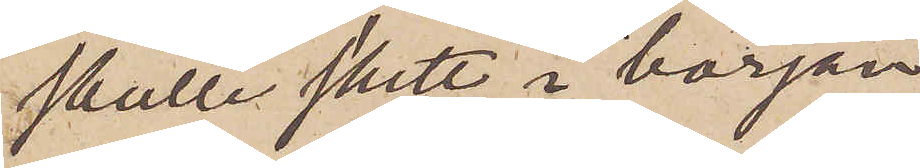skulle skett i början
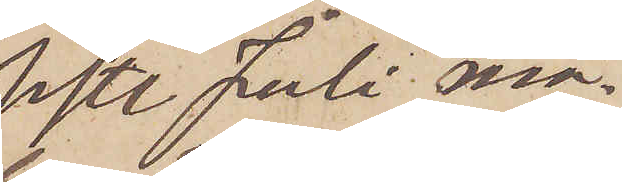sistl Juli må¬
